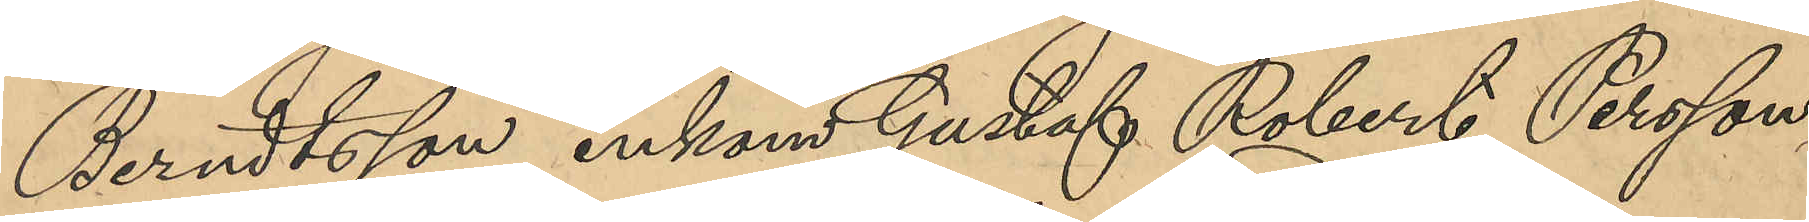Berndtsson, inkom Gustaf Robert Persson
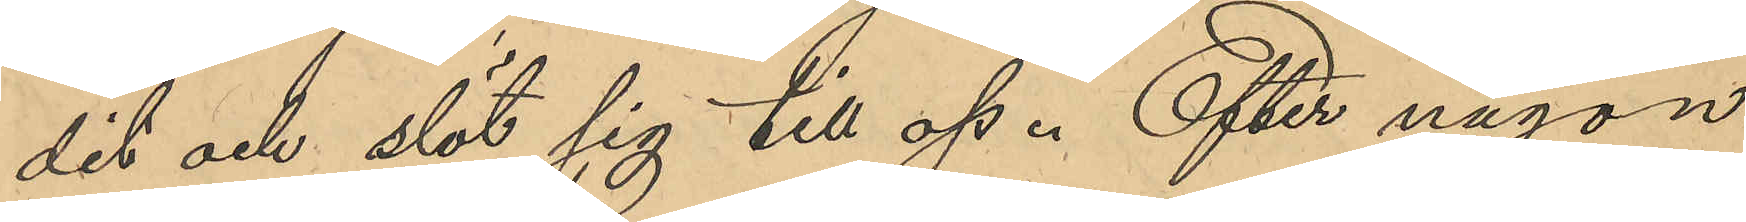dit och slöt sig till oss. Efter någon
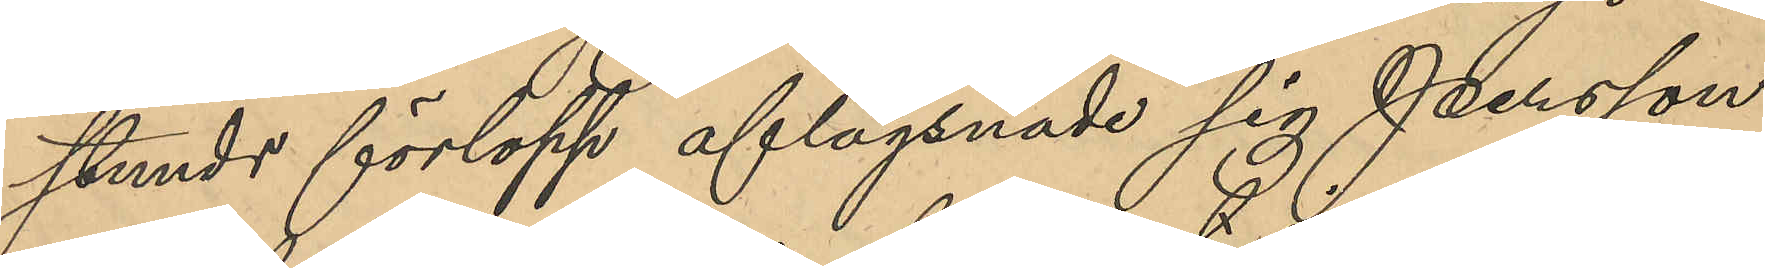stunds förlopp aflägsnade sig Persson
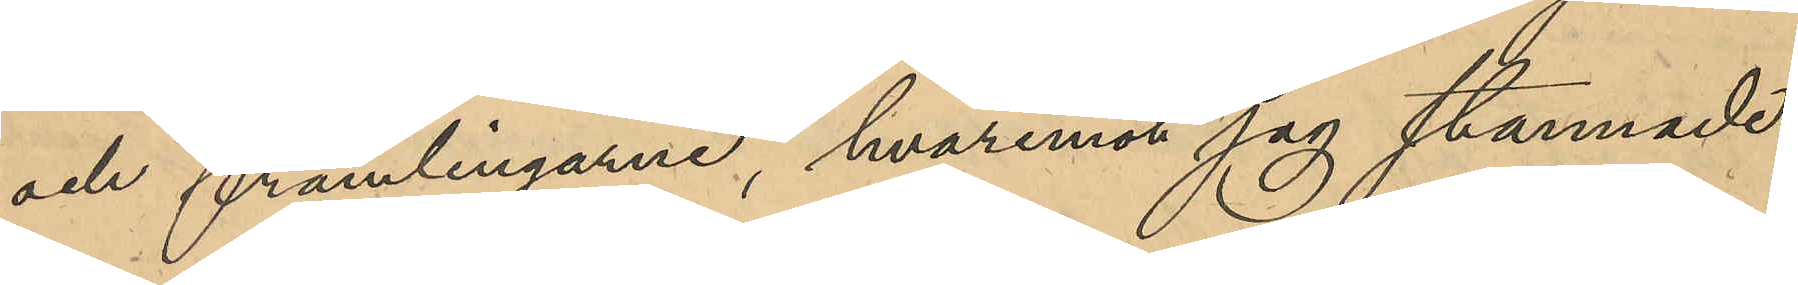och främlingarne, hvaremot jag stannade
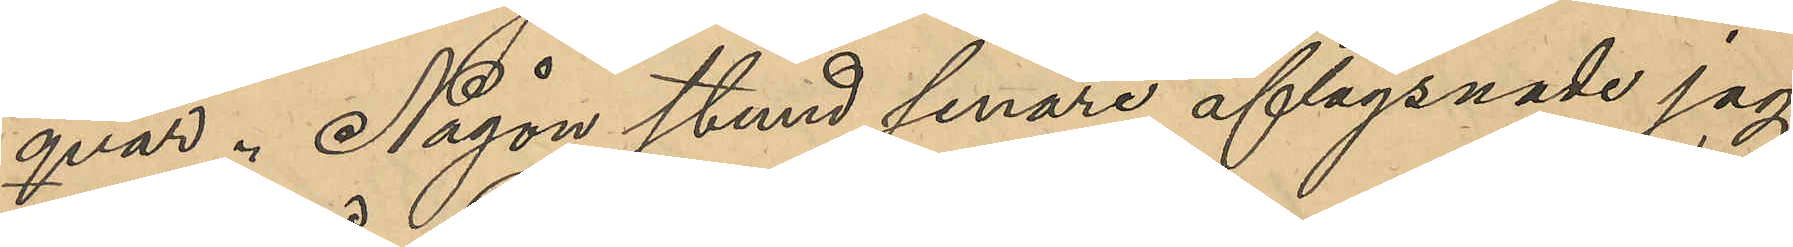qvar. Någon stund senare aflägsnade jag
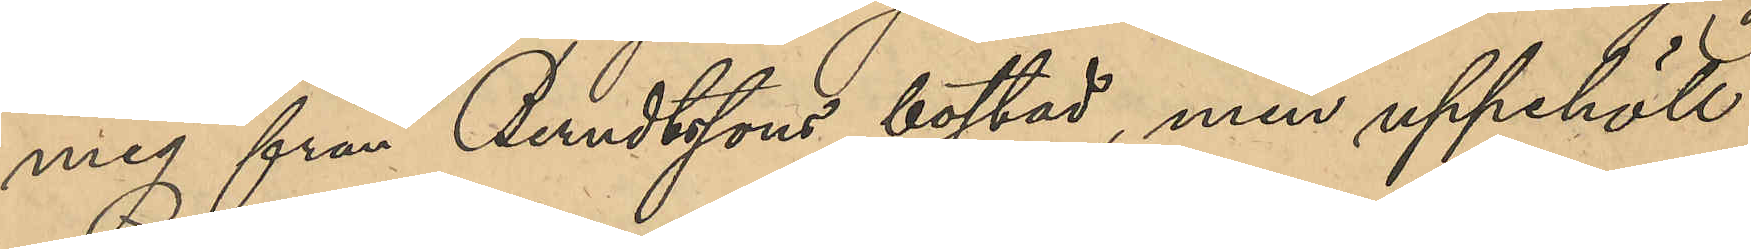mig från Berndtssons bostad, men uppehöll
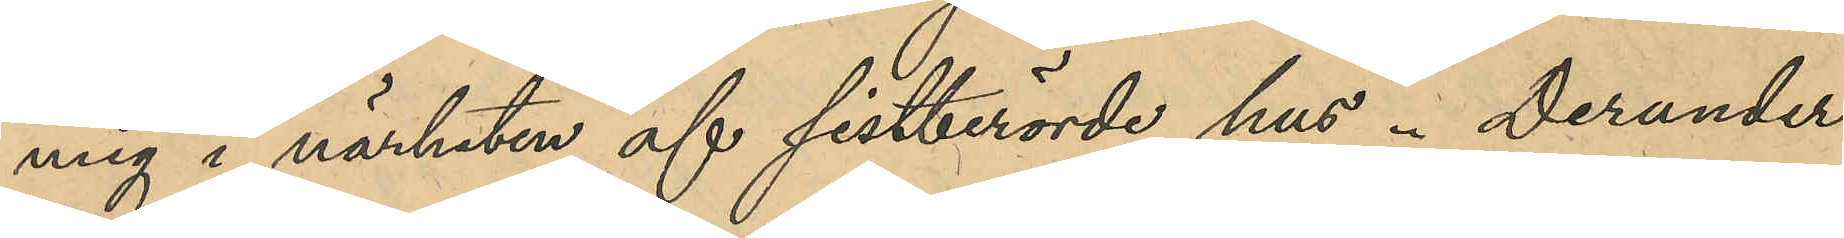mig i närheten af sistberörde hus. Derunder
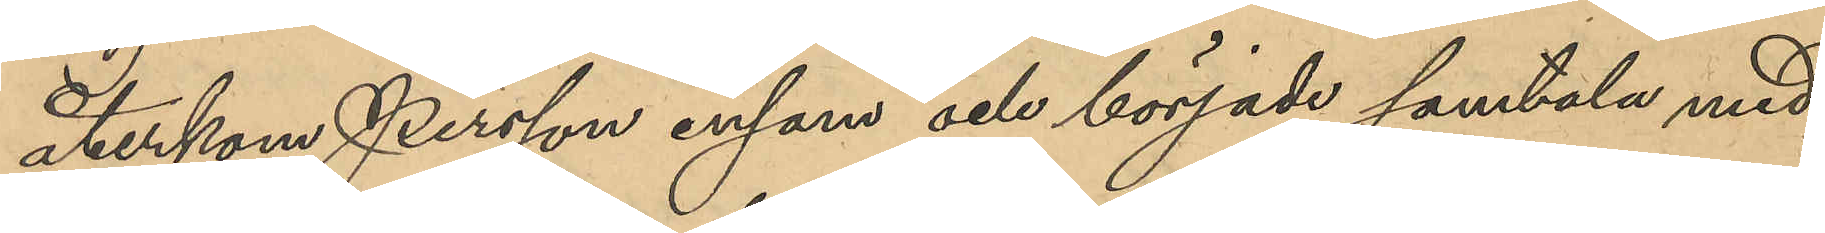återkom Persson ensam och började samtala med
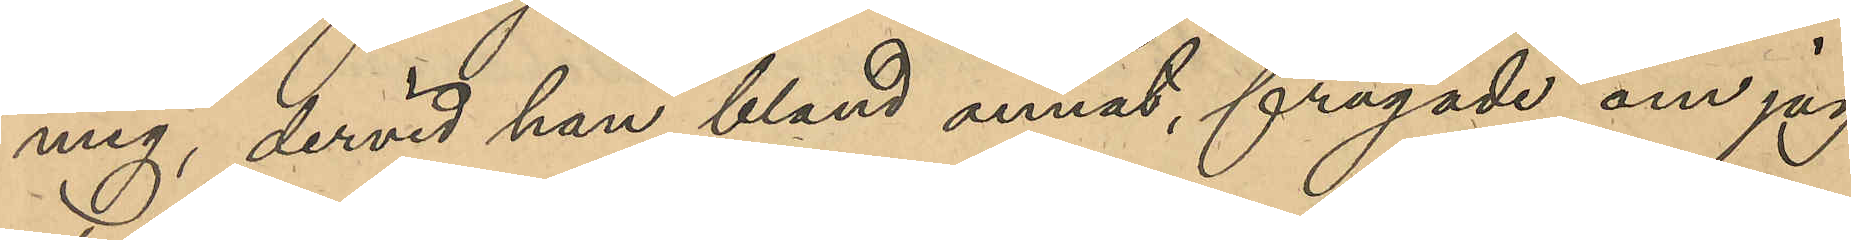mig, dervid han, bland annat, frågade om jag
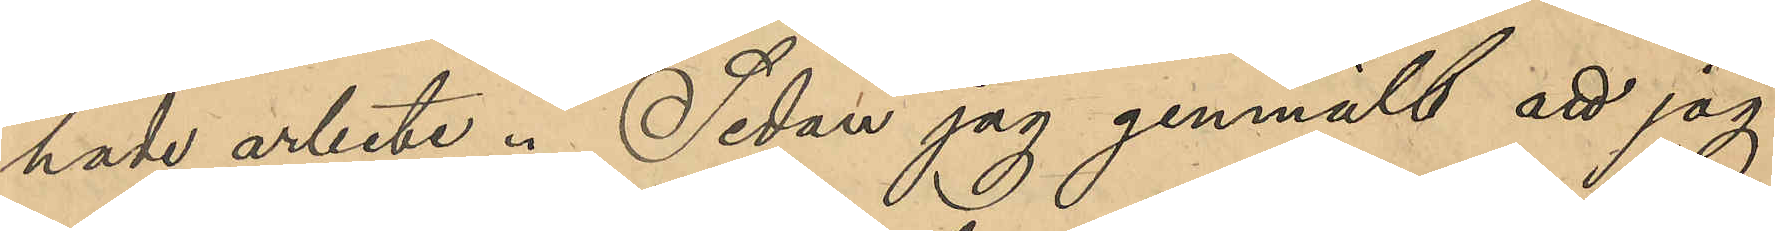hade arbete. Sedan jag genmält att jag
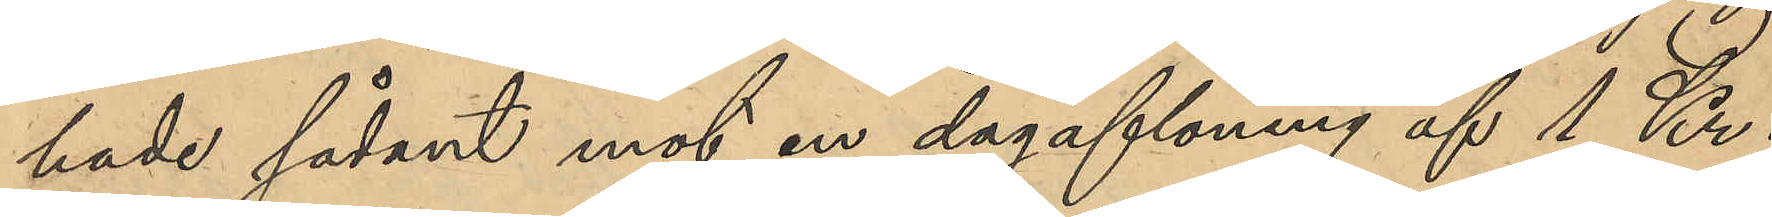hade sådant mot en dagaflöning af 1 Kr.
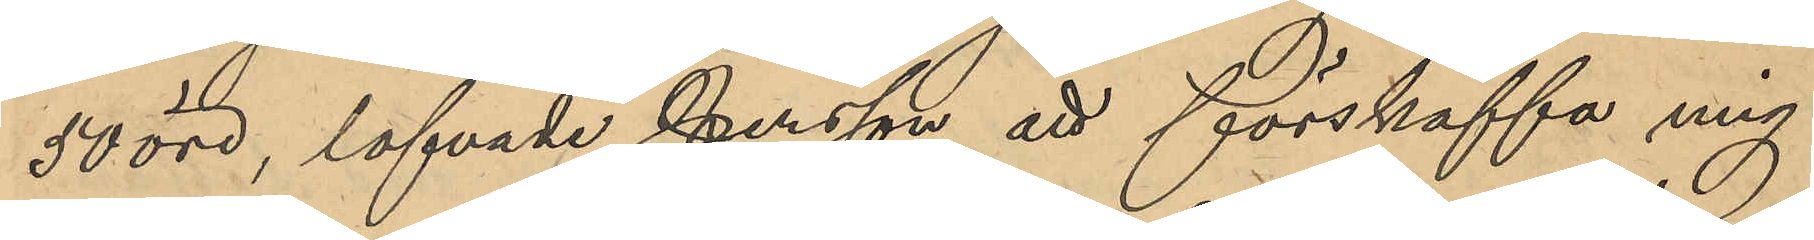50 öre, lofvade Persson att förskaffa mig
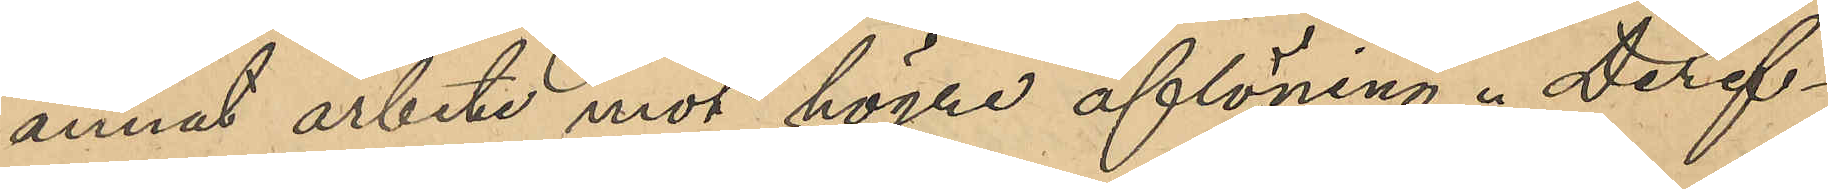annat arbete mot högre aflöning. Deref¬
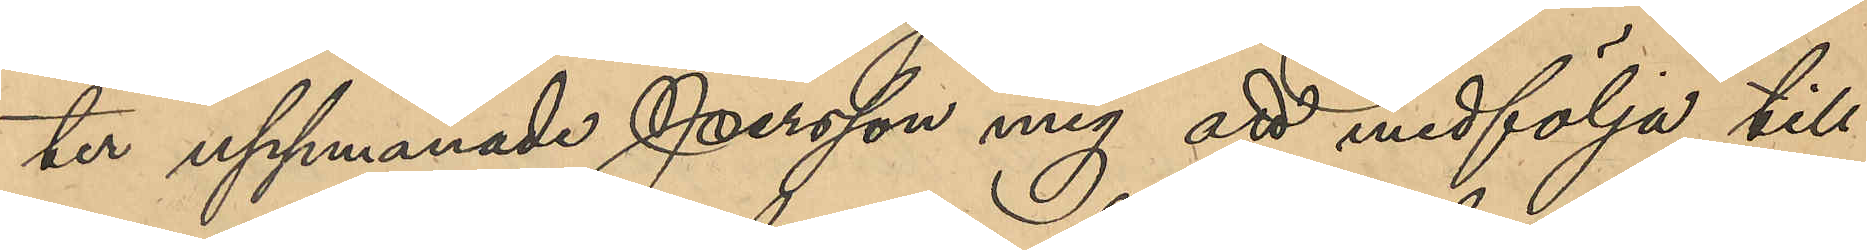ter uppmanade Persson mig att medfölja till
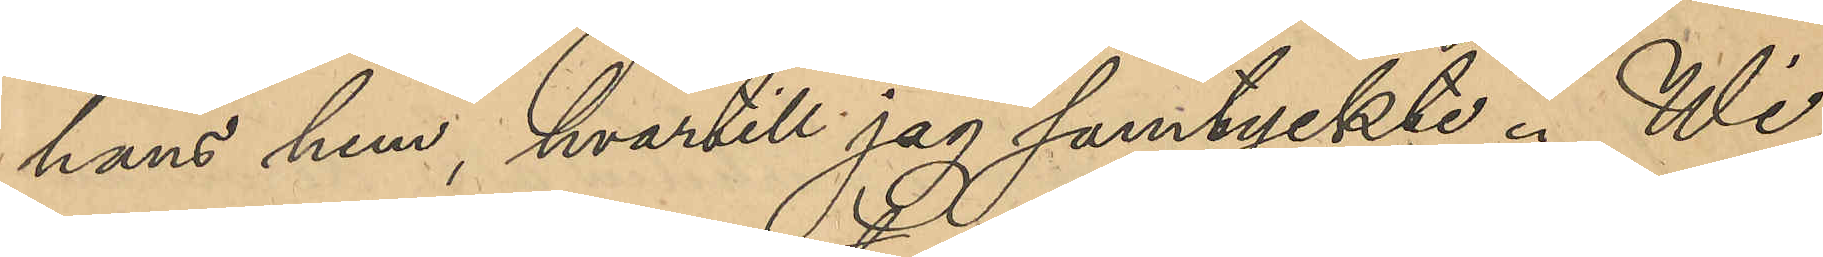hans hem, hvartill jag samtyckte. Wi
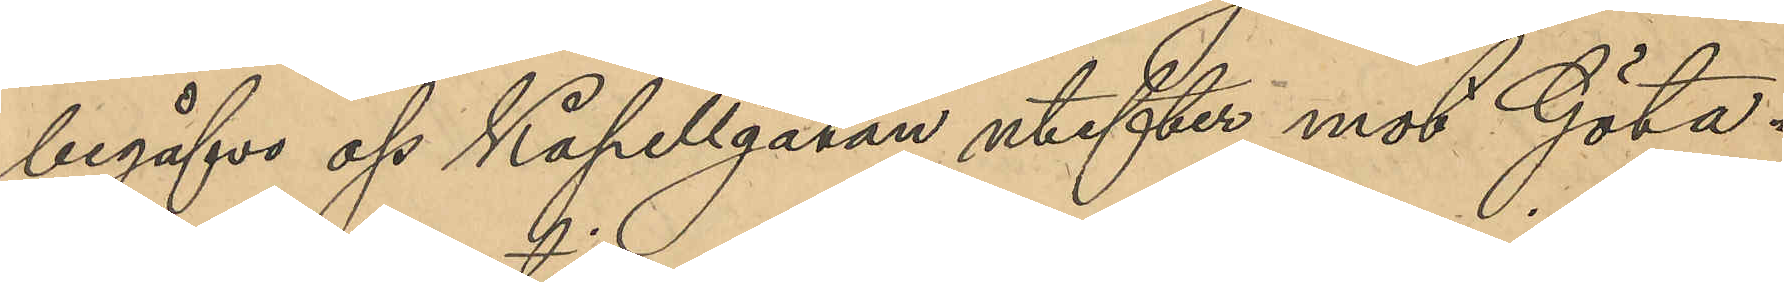begåfvo oss Kapellgatan utefter mot Göta¬
